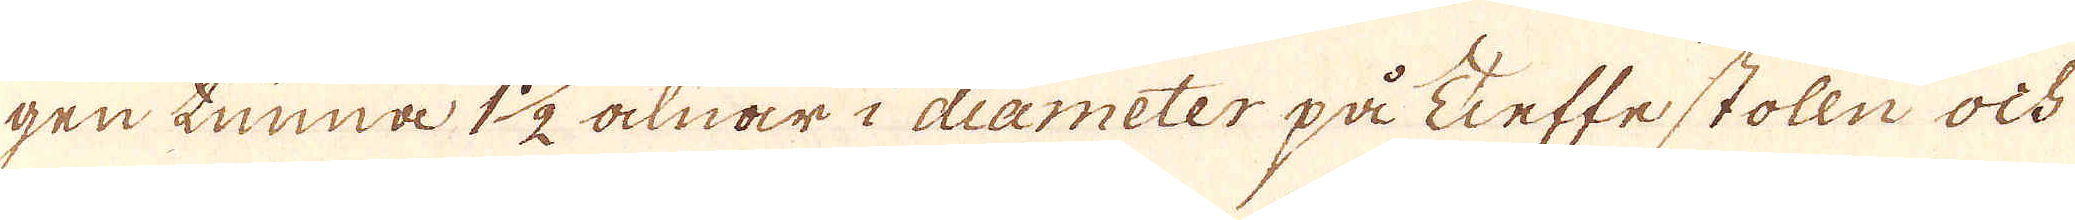gen tunna 1 1/2 alnar i diameter på Tieffestolln ock
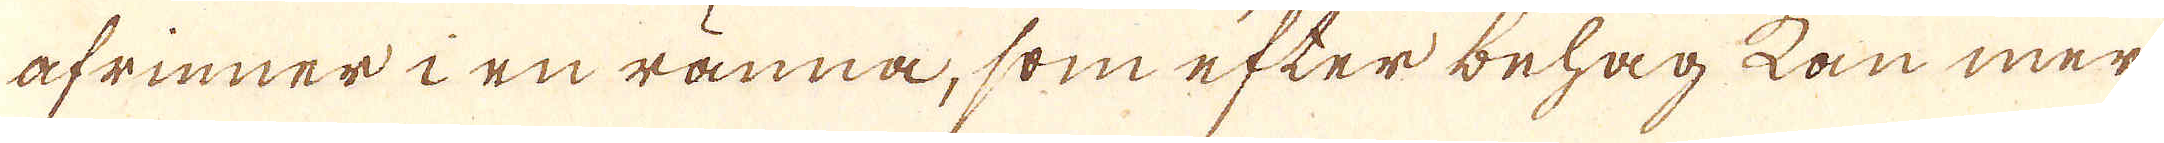afrinner i en ränna, som efter behag kan mer
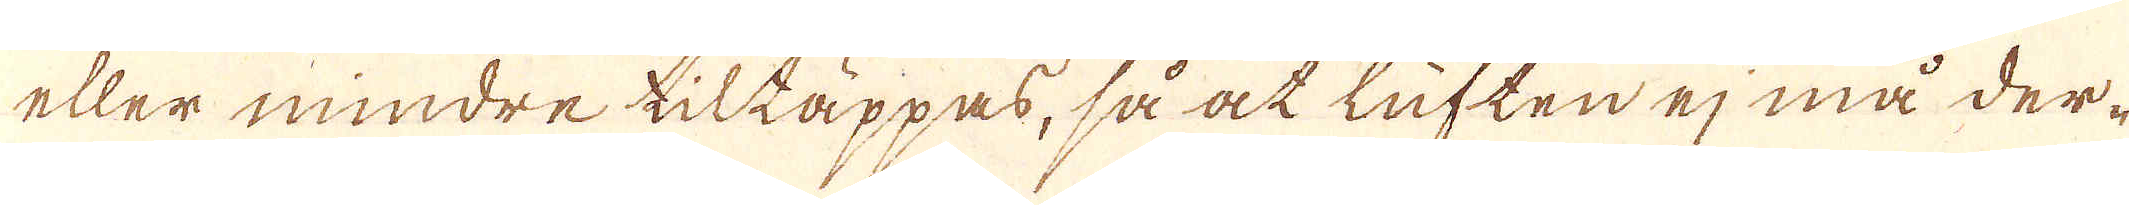eller mindre tiltäppas, så at luften ej må der-
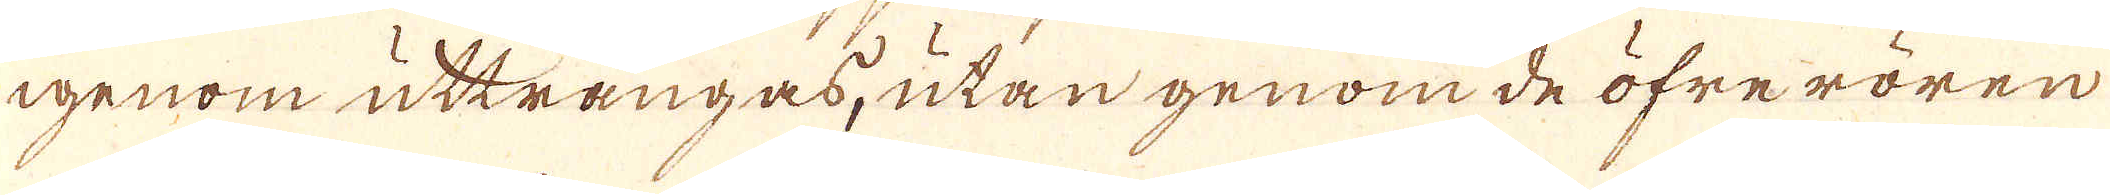igenom utträngas, utan genom de öfrerören
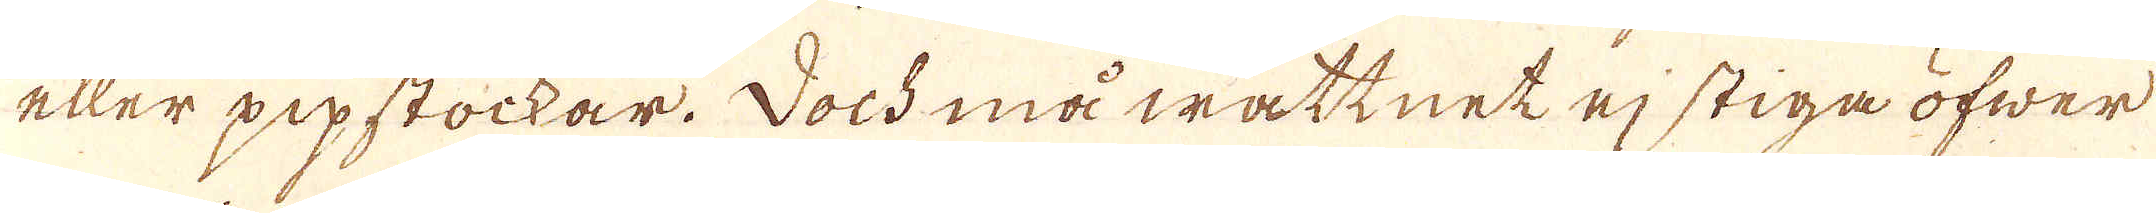eller pipstockar. Doch må wattnet ej stiga öfwer
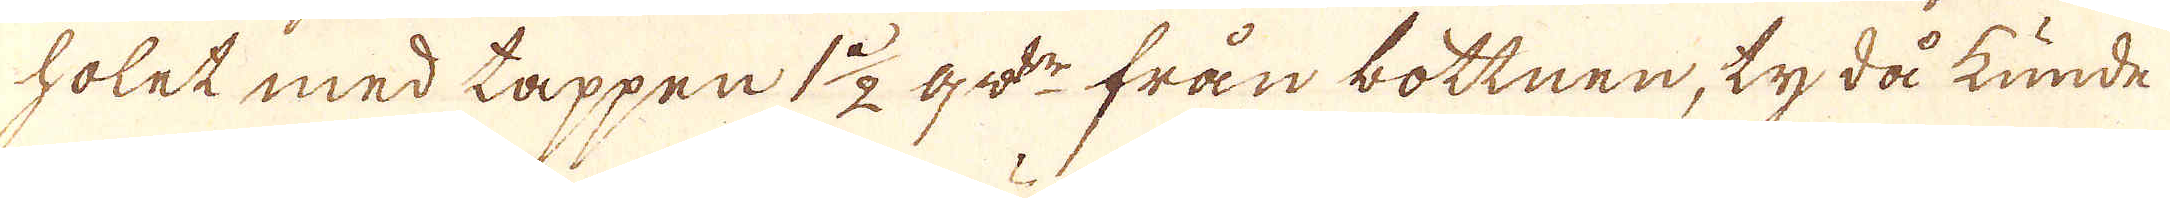holet med tappen 1 1/2 qv:r från bottnen, ty då kunde
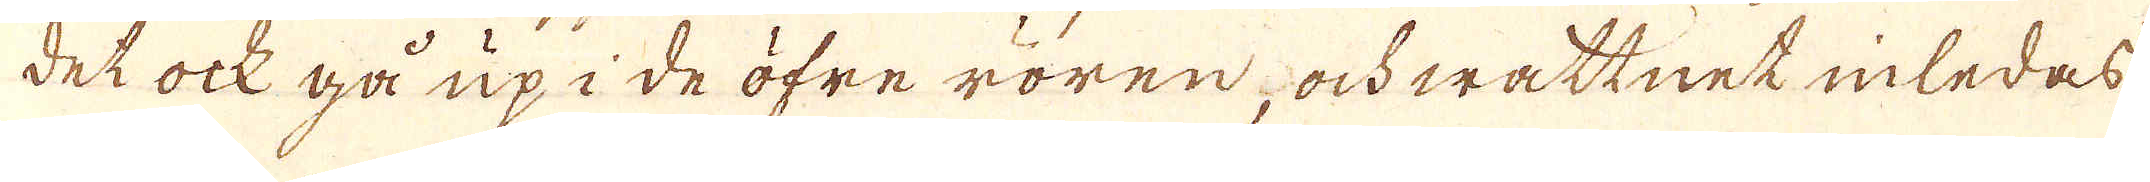det ock gå up i de öfre rören, ock wattnet inledas
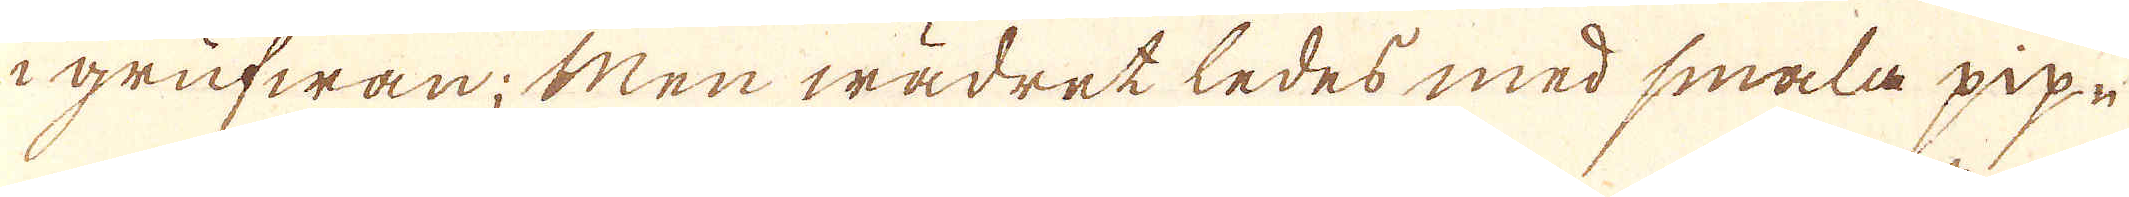i grufwan; Men wädret ledes med smala pip-
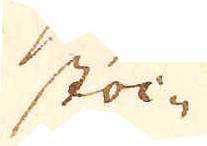stoc-
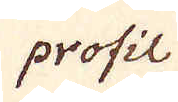profil
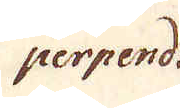perpend:
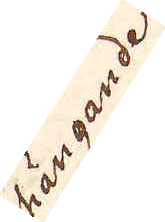hängande
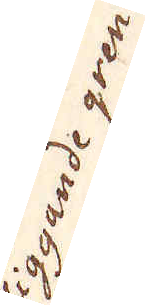liggande gren
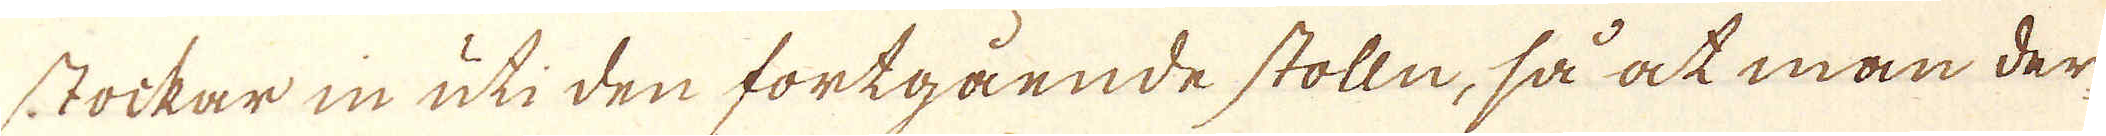stockar in uti den fortgående stolln, så at man der-
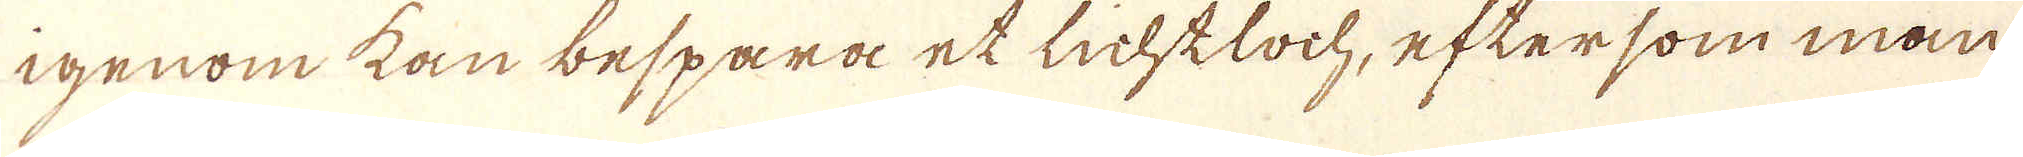igenom kan bespara et lichtloch, eftersom man
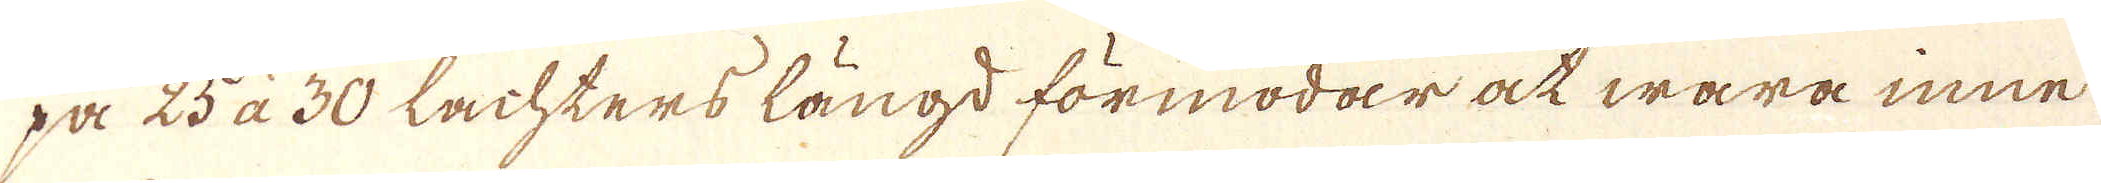på 25 à 30 lachters längd förmodar at wara inne
